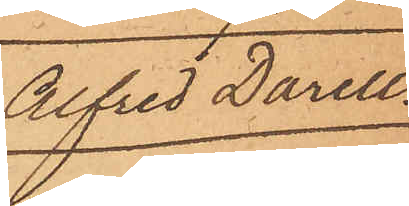Alfred Darell
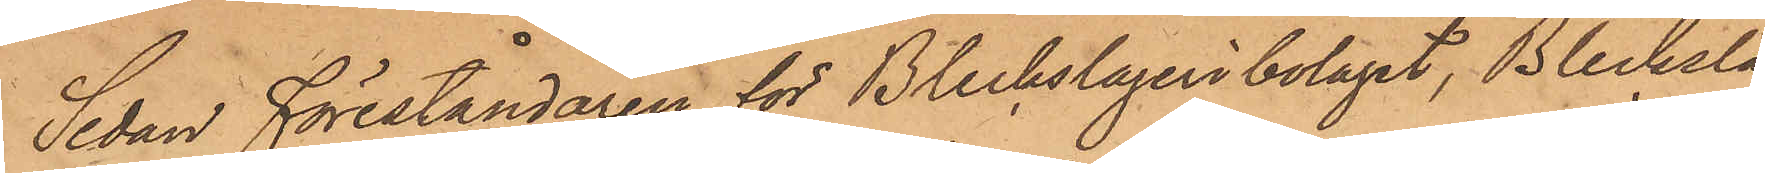Sedan föreståndaren för Bleckslageribolaget, Blecksla¬
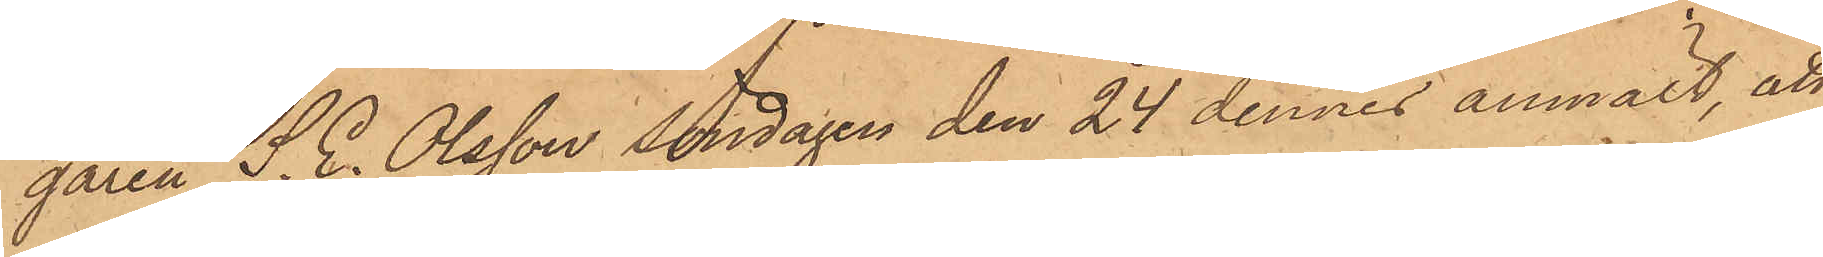garen S. E. Olsson söndagen den 24 dennes anmält, att
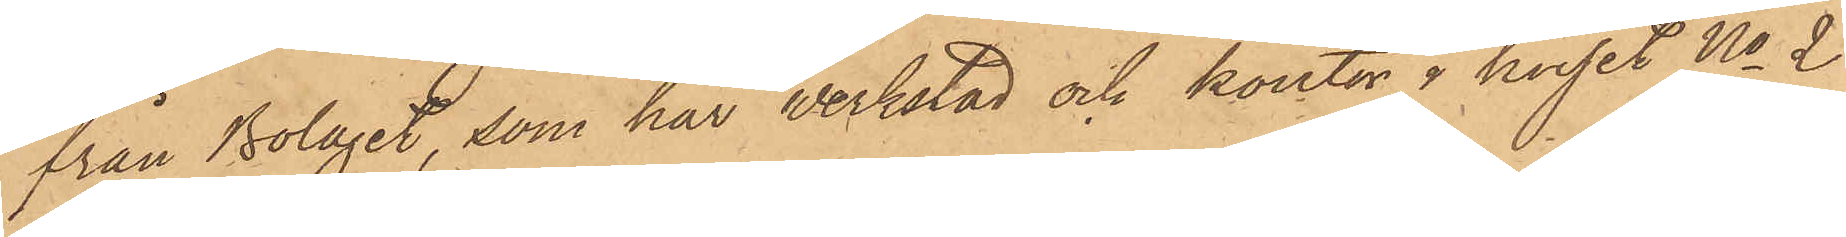från Bolaget, som har verkstad och kontor i huset No 2
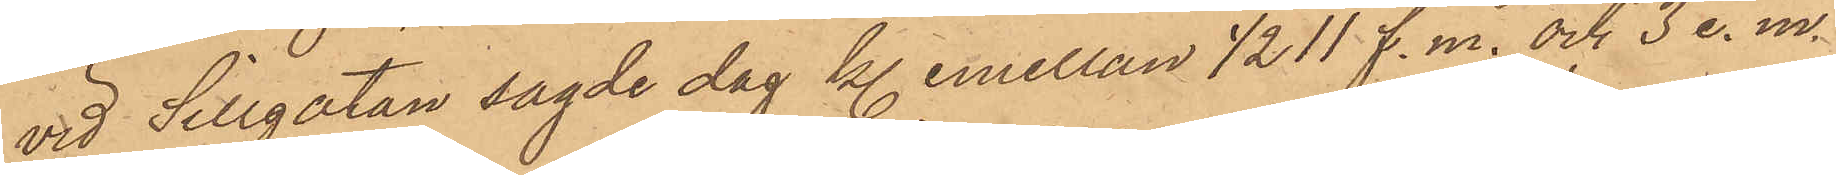vid Sillgatan sagde dag kl. emellan ½11 f. m. och 3 e. m.
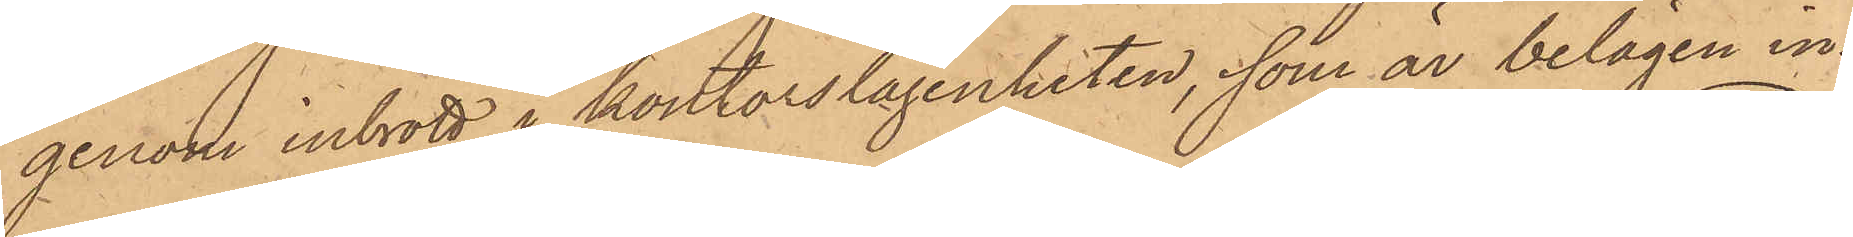genom inbrott i kontorslägenheten, som är belägen in¬
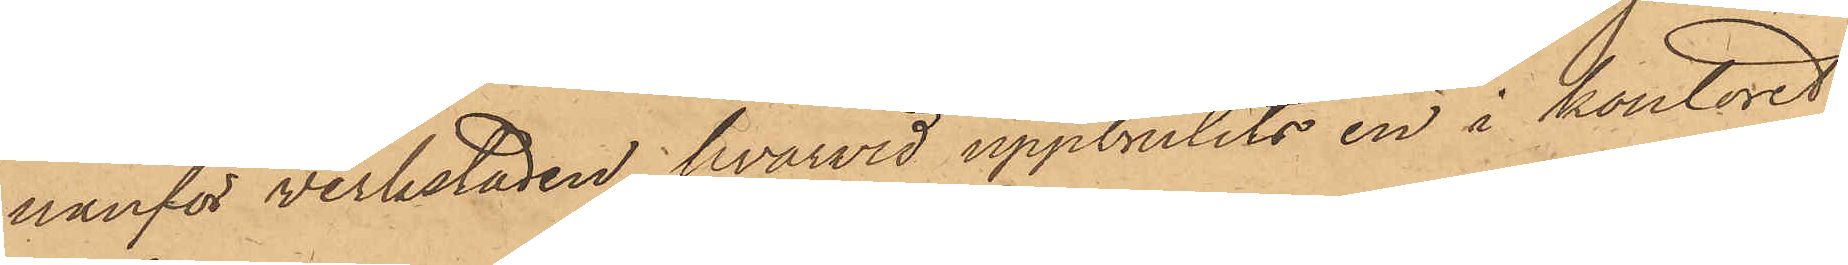nanför verkstaden, hvarvid uppbrutits en i kontoret
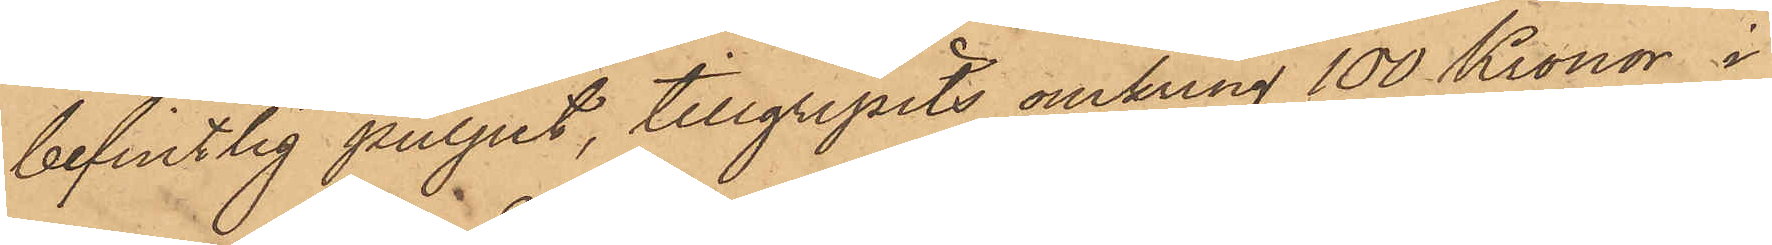befintlig pulpet, tillgripits omkring 100 Kronor i
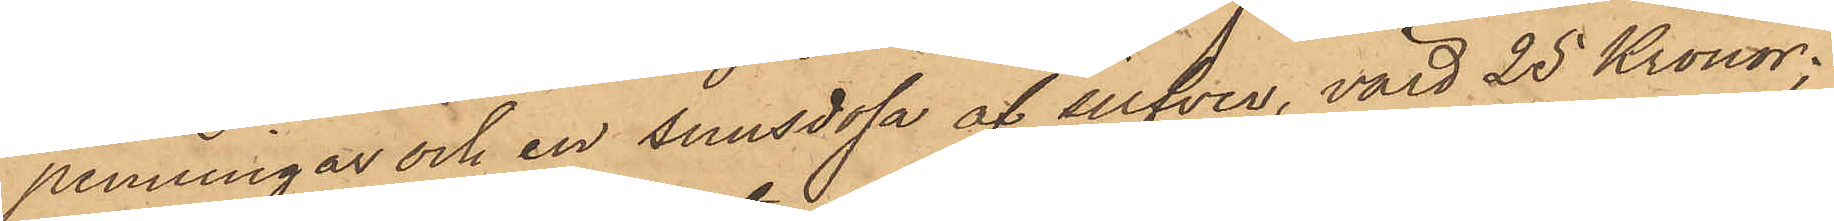penningar och en snusdosa af silfver, värd 25 Kronor;
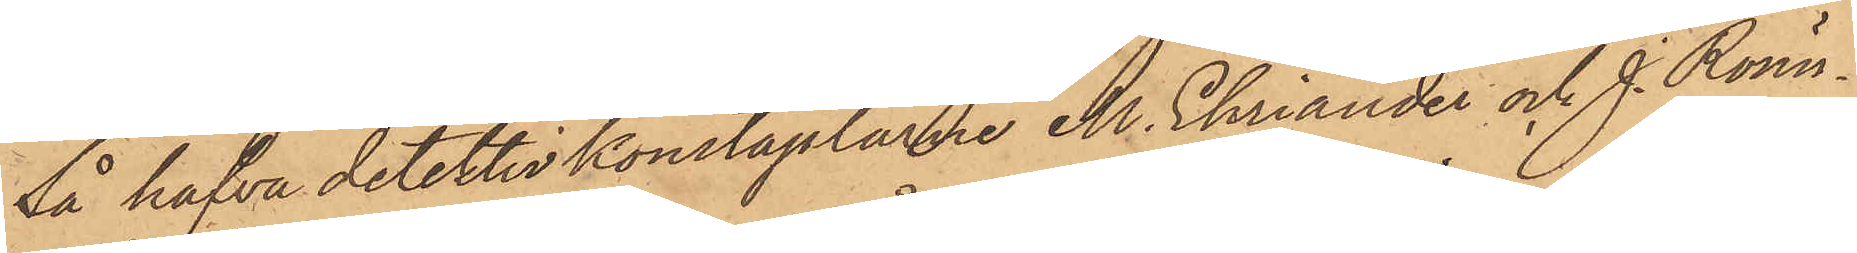så hafva detektivkonstaplarne M. Ehriander och J. Rönn¬
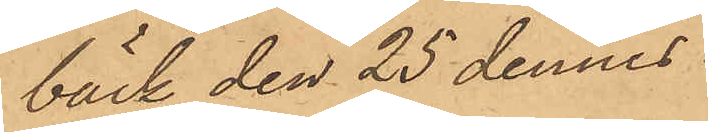bäck den 25 dennes
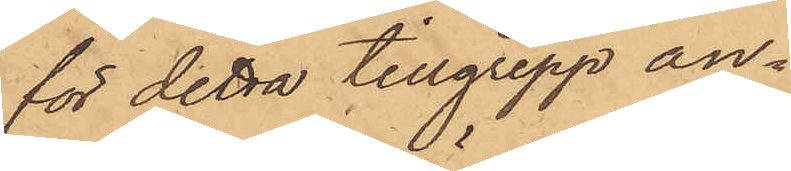för detta tillgrepp an¬
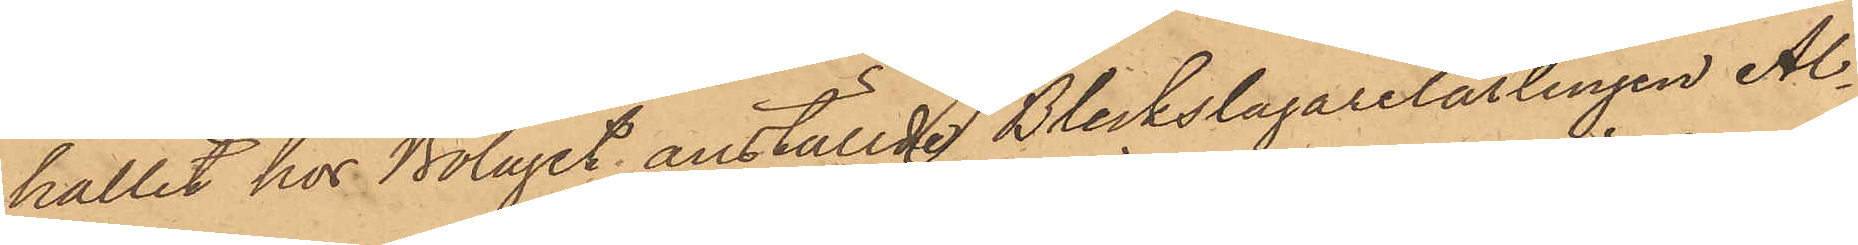hållit hos Bolaget anställde Bleckslagarelärlingen Al¬
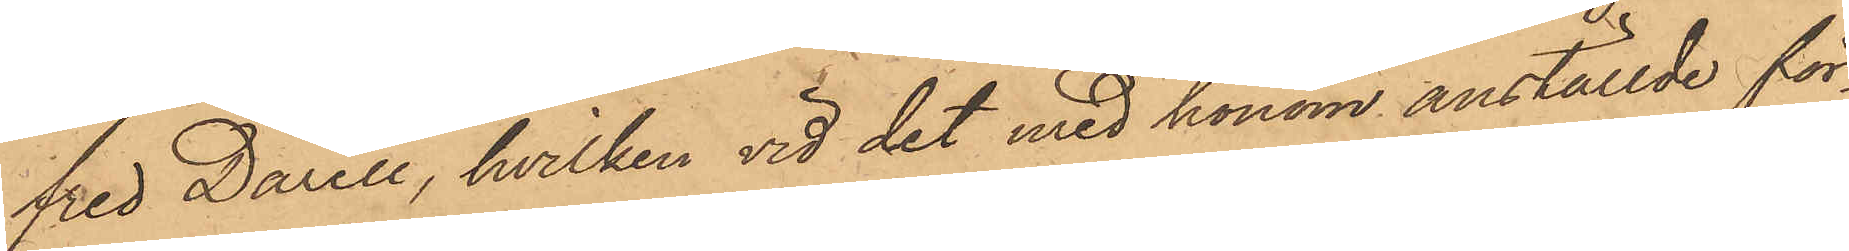fred Darell, hvilken vid det med honom anställde för¬
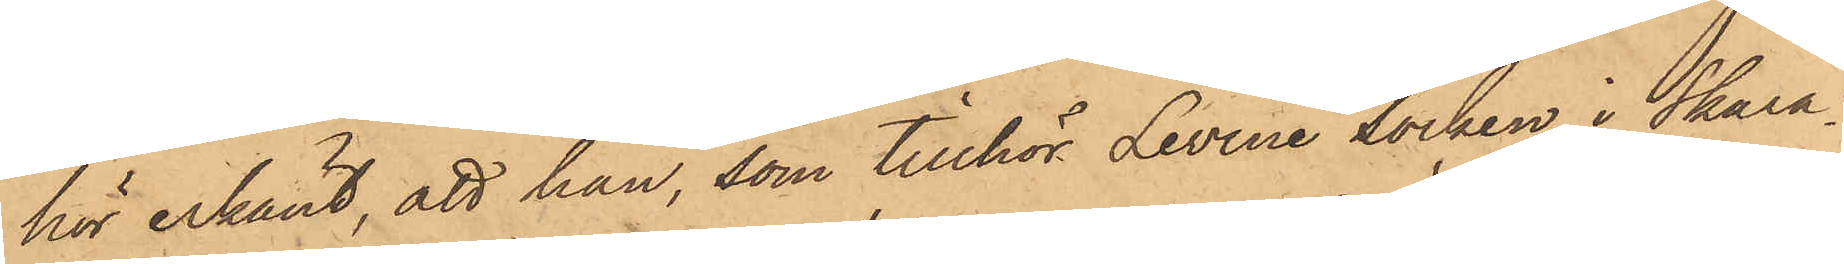hör erkänt, att han, som tillhör Levene Socken Skara¬
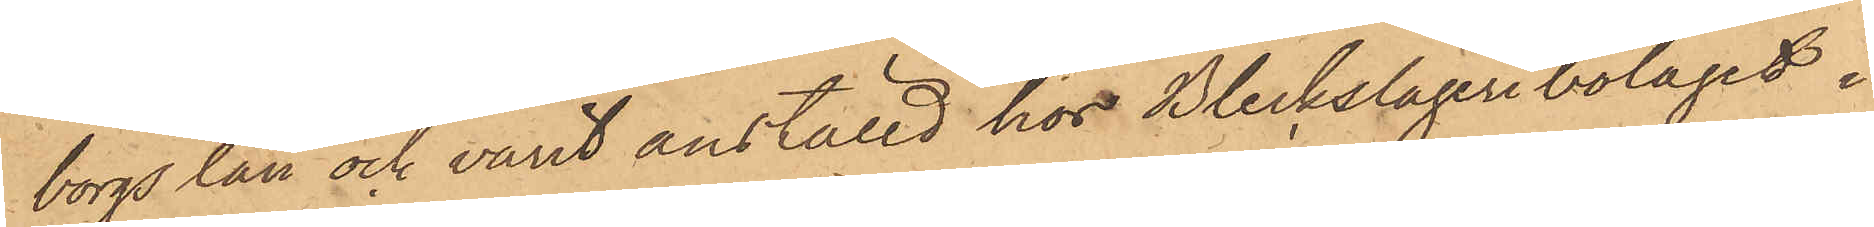borgs län och varit anställd hos Bleckslageribolaget i
